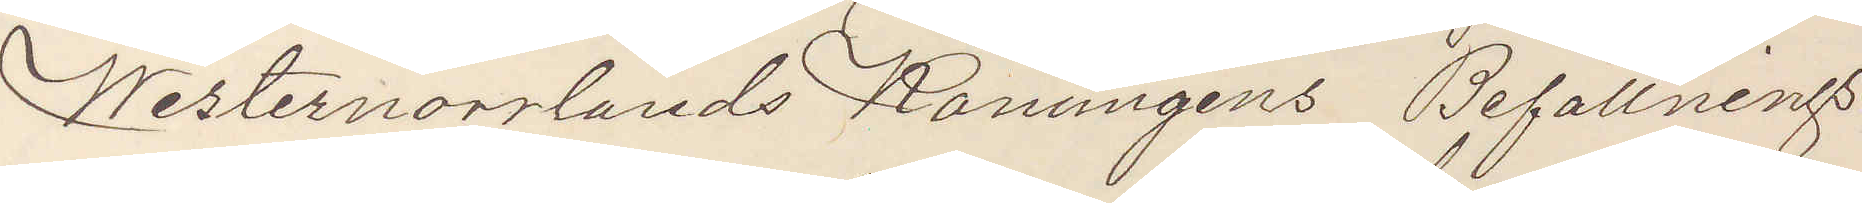Westernorrlands Konungens Befallnings¬
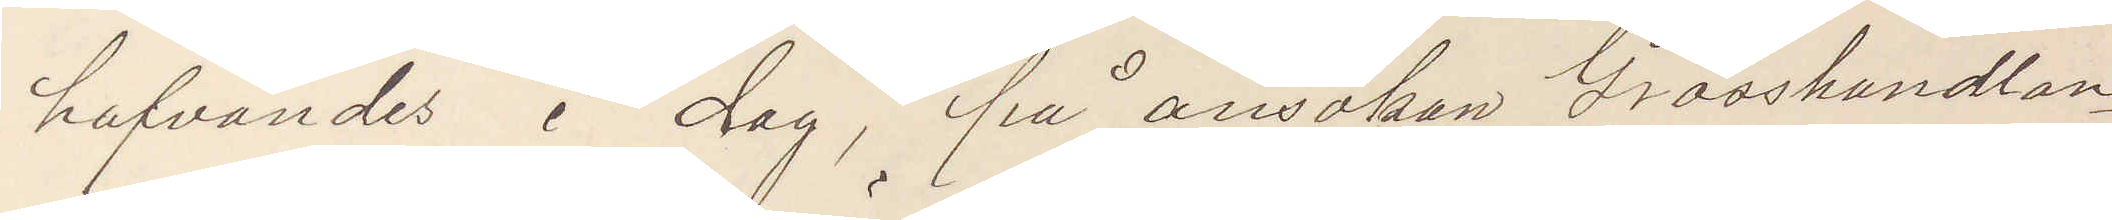hafvandes i dag, på ansökan Grosshandlan¬
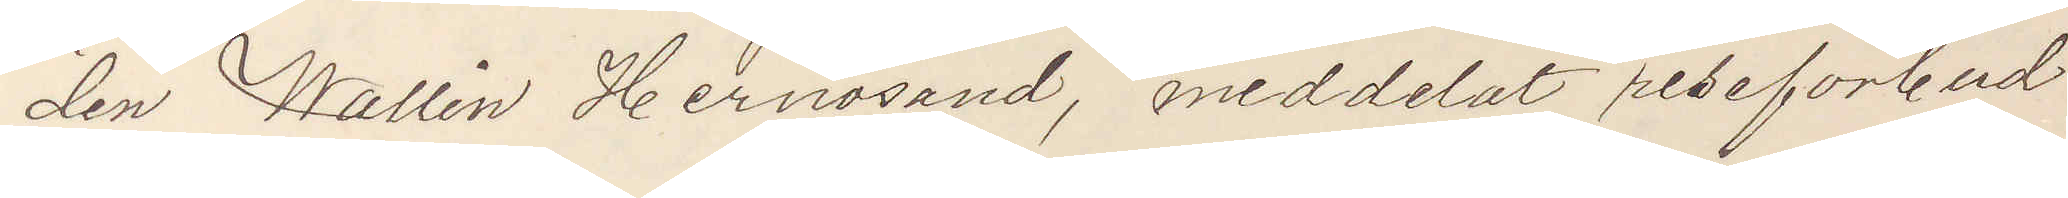den Wallin Hernösand, meddelat reseförbud
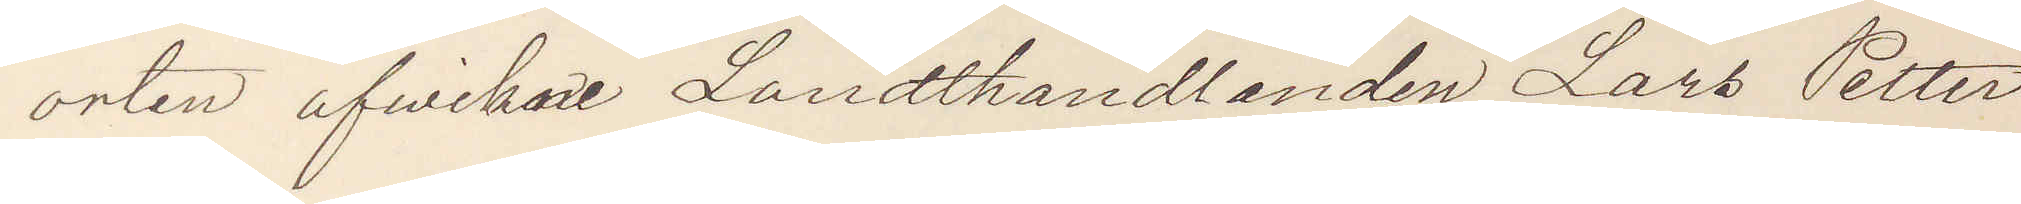orten afwikne Lanthandlanden Lars Petter
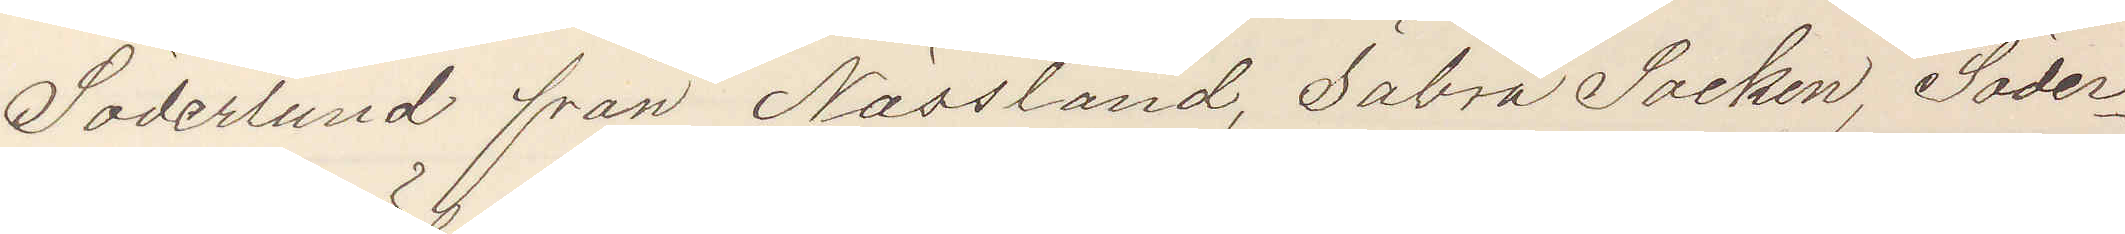Söderlund från Nässland, Säbrå Socken, Söder¬
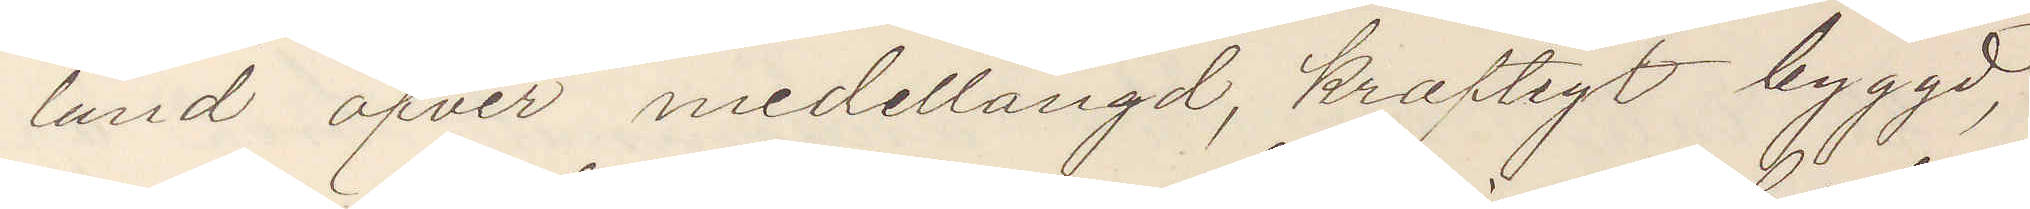lund öfver medellängd, kraftigt byggd,
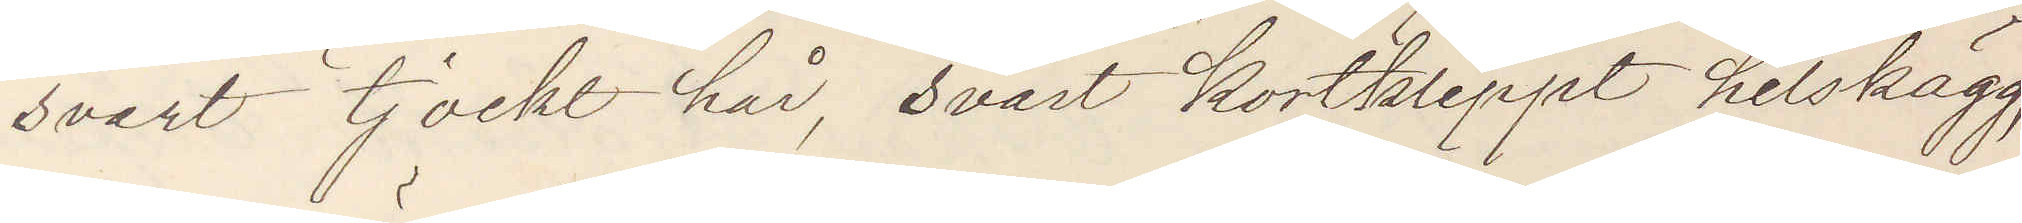svart tjockt hår, svart kortklippt helskägg,
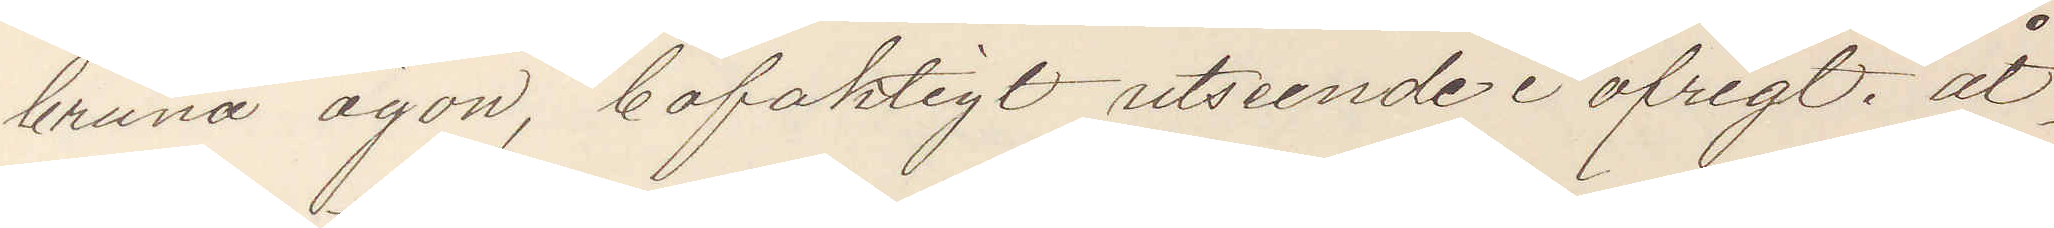bruna ögon, bofaktigt utseende i öfrigt. åt¬
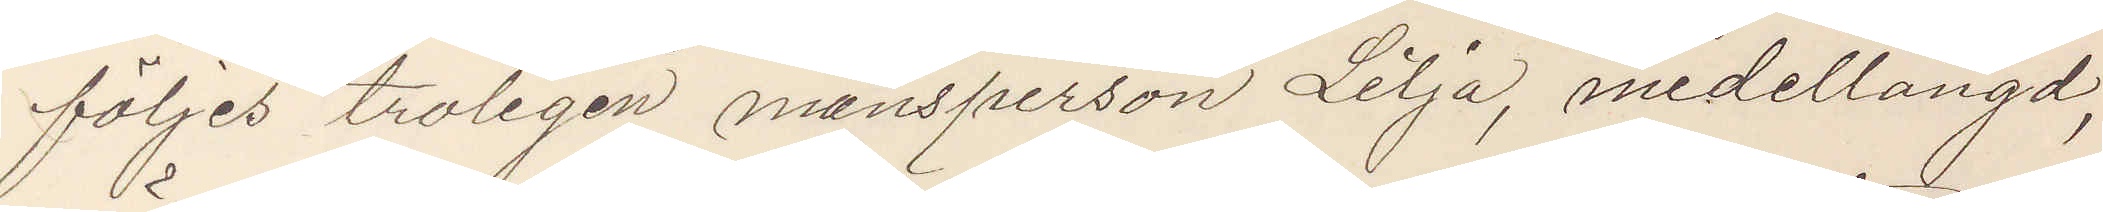följes troligen mansperson Lilja, medellängd,
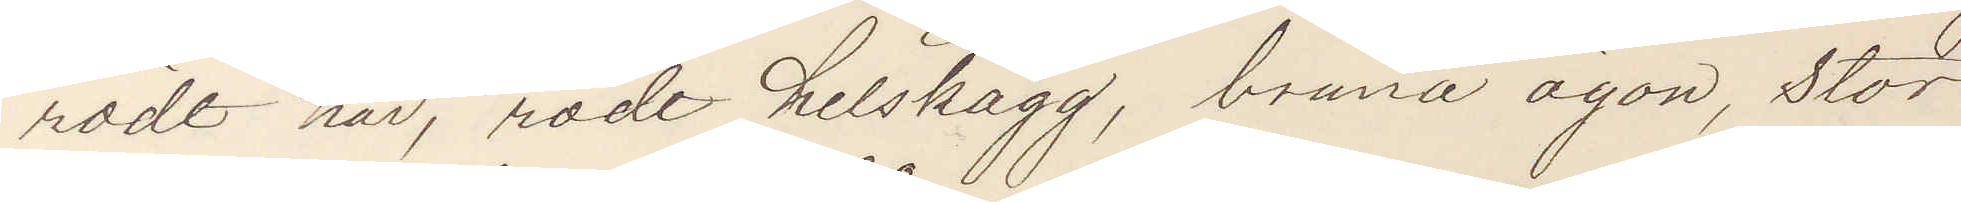rödt hår, röde helskägg, bruna ögon, stor
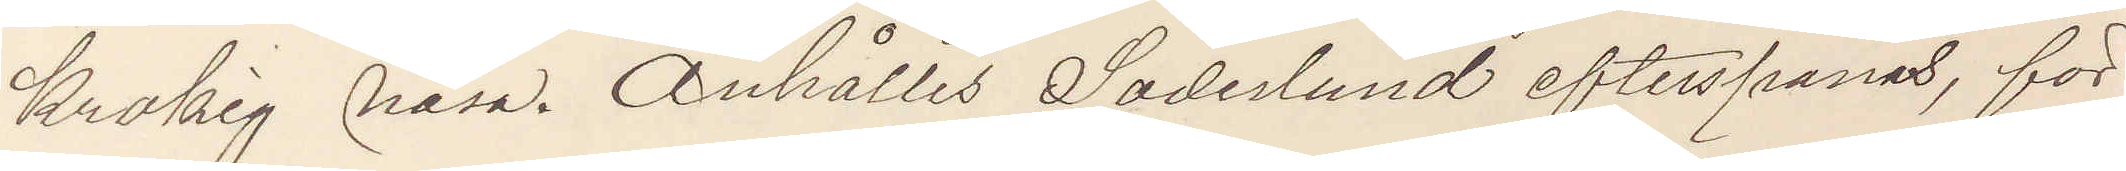krokig näsa. Anhålles Söderlund efterspanas, för¬
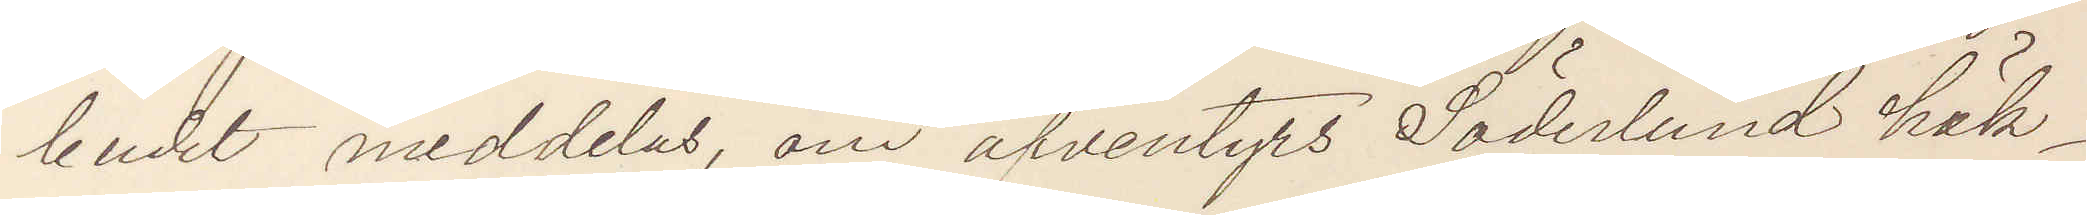budet meddelas, om äfventyrs Söderlund häk¬
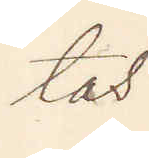tas.
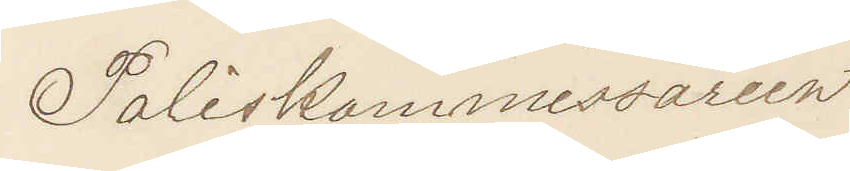Poliskommissarien
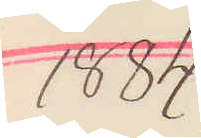1884.
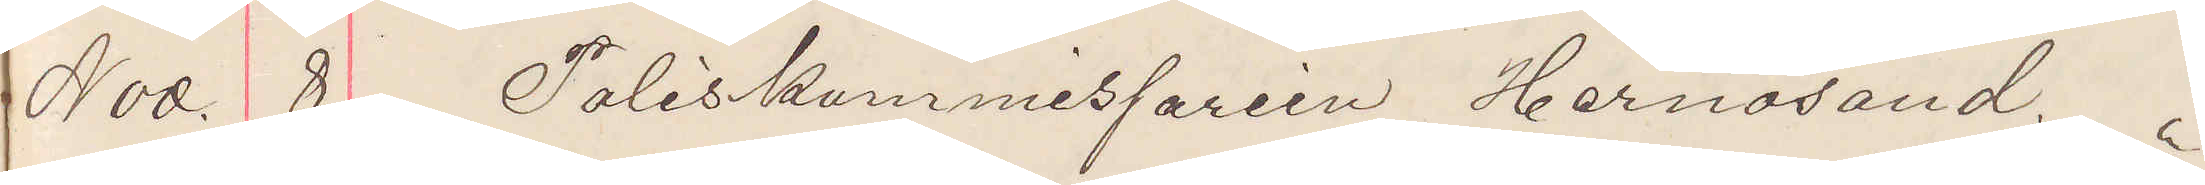Nov. 8 Poliskommissarien Hernösand.
